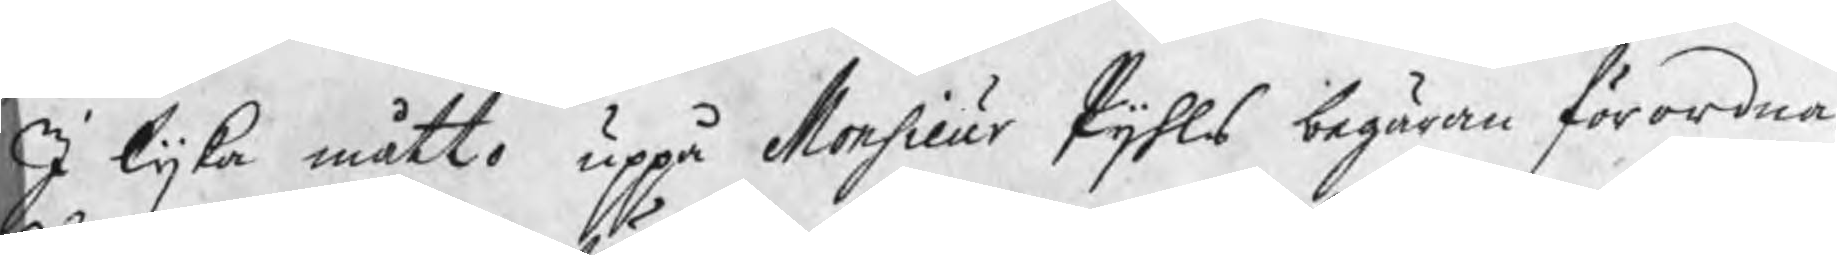I lijka måtto uppå Monsieur Pijhls begäran förordna¬
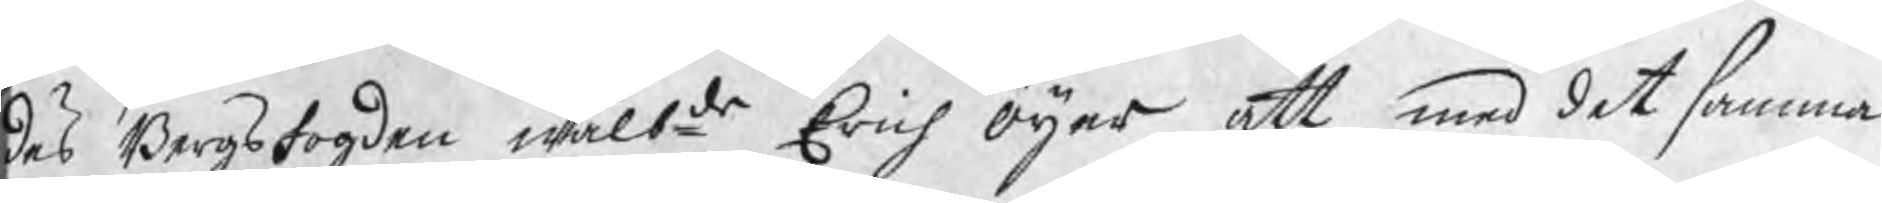des Bergsfogden wälbde Erich Öijer att med det samma
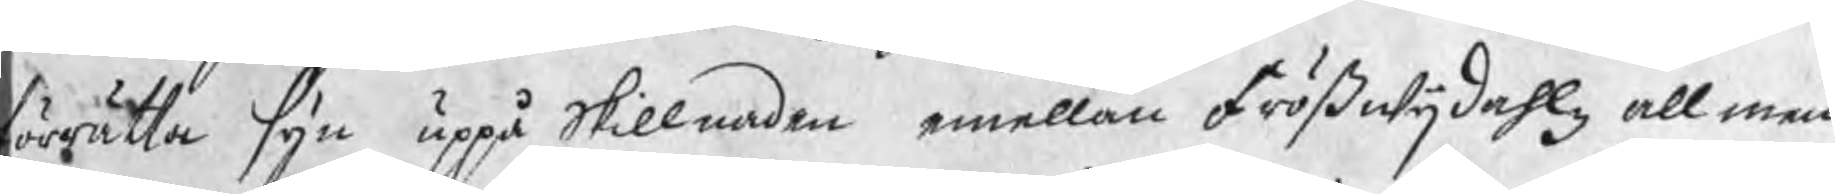förrätta syn uppå skillnaden emellan Frößwijdahlz allmen¬
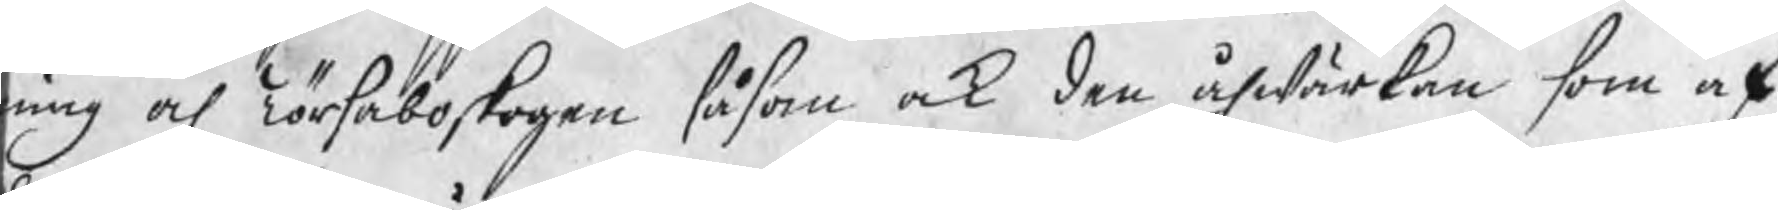ning och Törsaboskogen såsom ock den åhwärkan som af
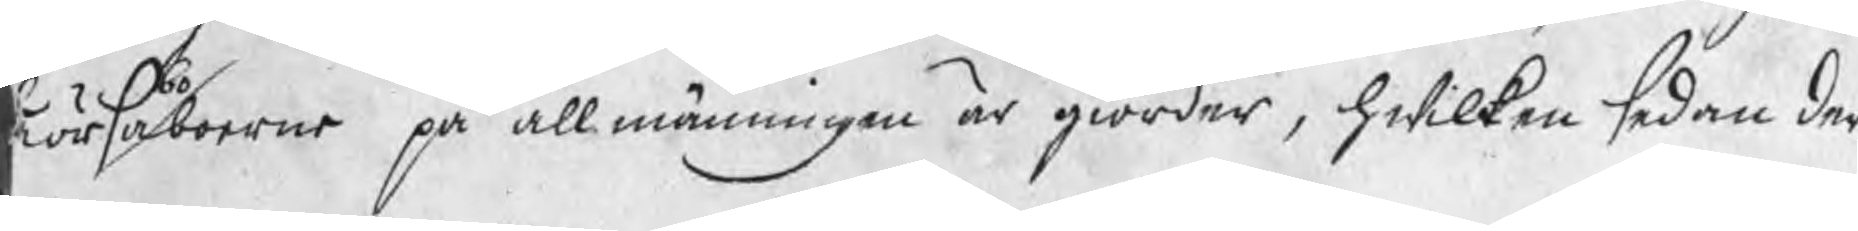Törsaboboerne på allmänningen är giorder, hwilken sedan der
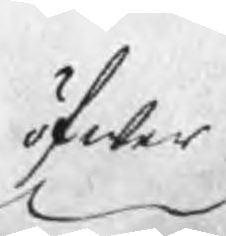öfwer
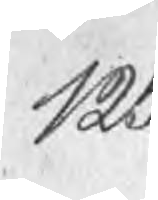125
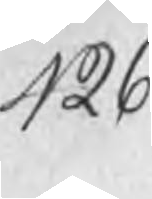426
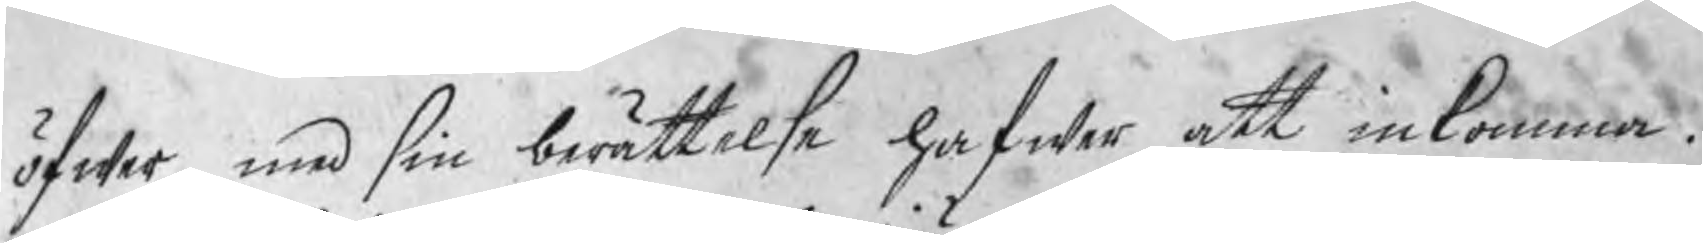öfwer med sin berättelse hafwer att inlemna.
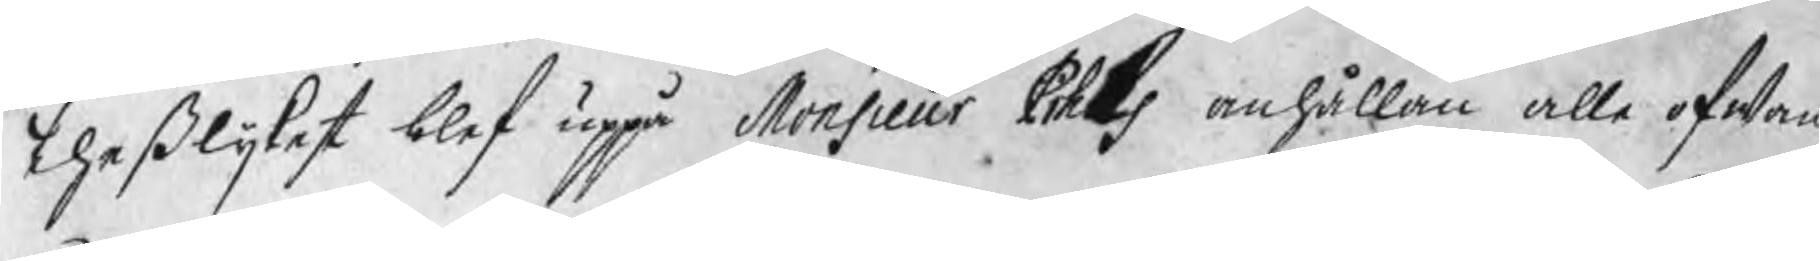Theßlijkest blef uppå Monsieur Pihls anhållan alle ofwan¬
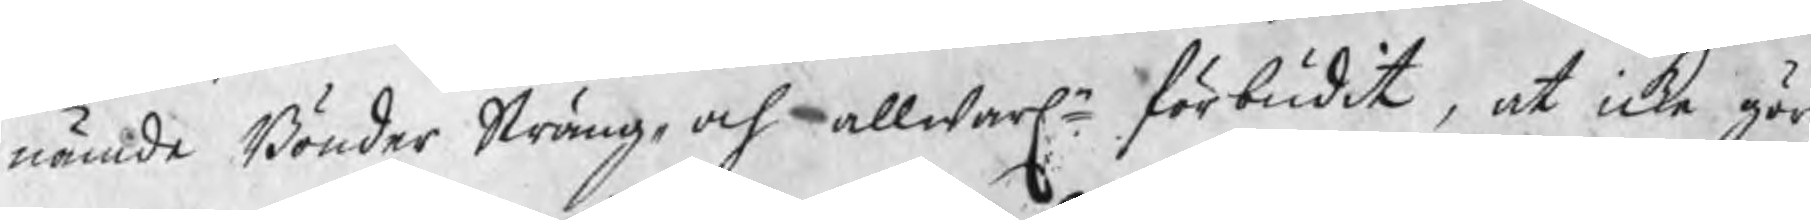nämde Bönder Sträng¬ och allwarln förbudit, at icke gör
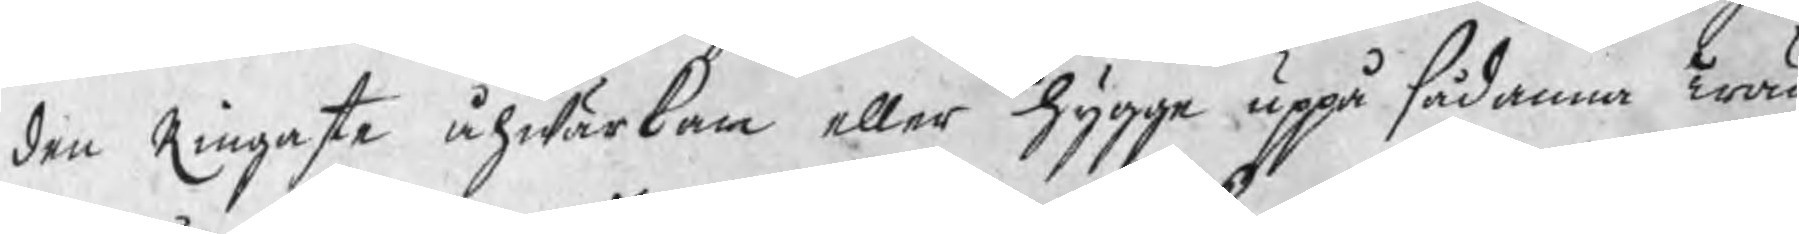den Ringaste åhwärkan eller hygge uppå sådana Trän
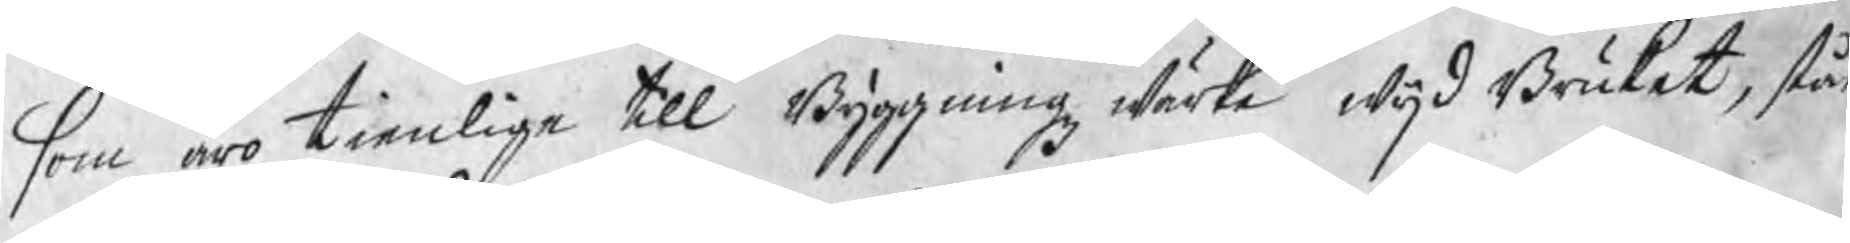som äro tienlige till Byggningz wärk wijd Bruket, stå
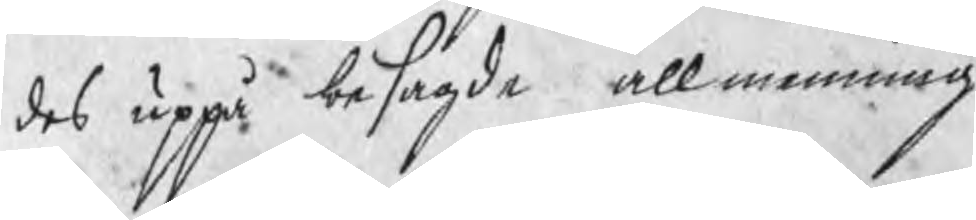des uppå besagde allmenning
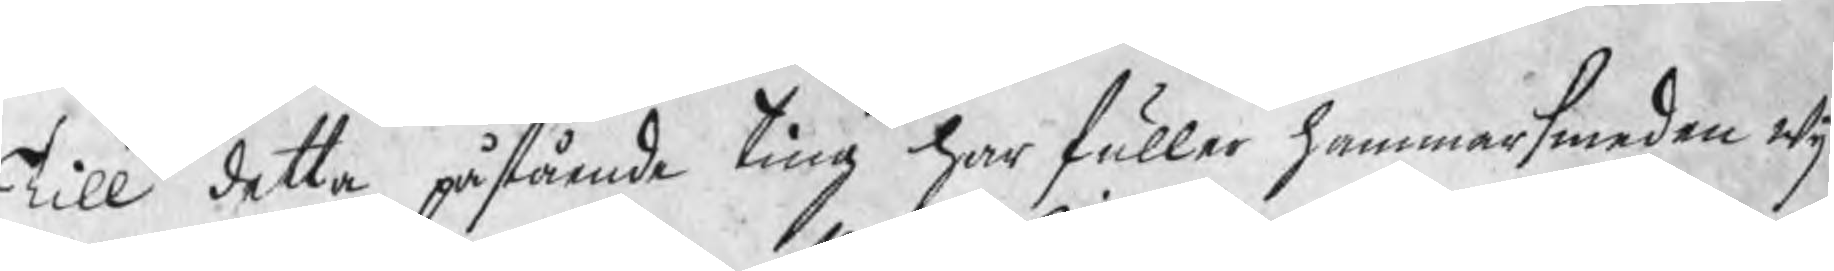Till detta påstående ting har fuller hammarsmeden wij
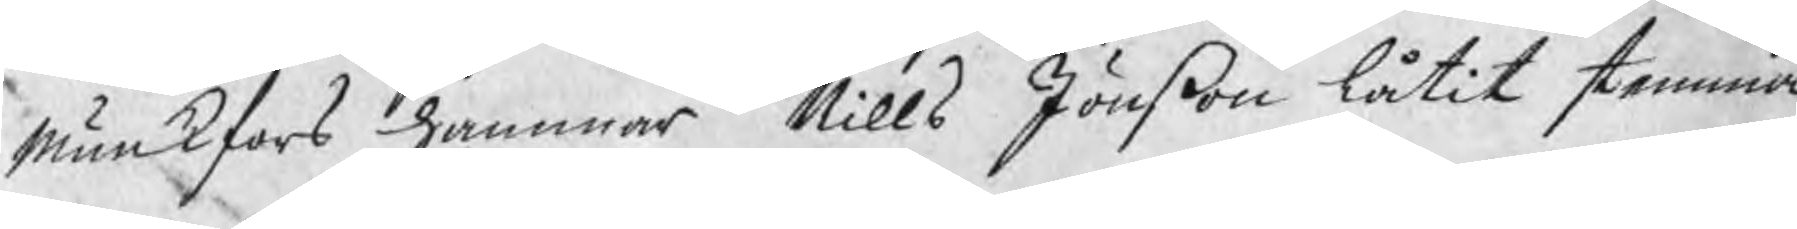Munkfors hammar Nills Jönßon låtit stemma
